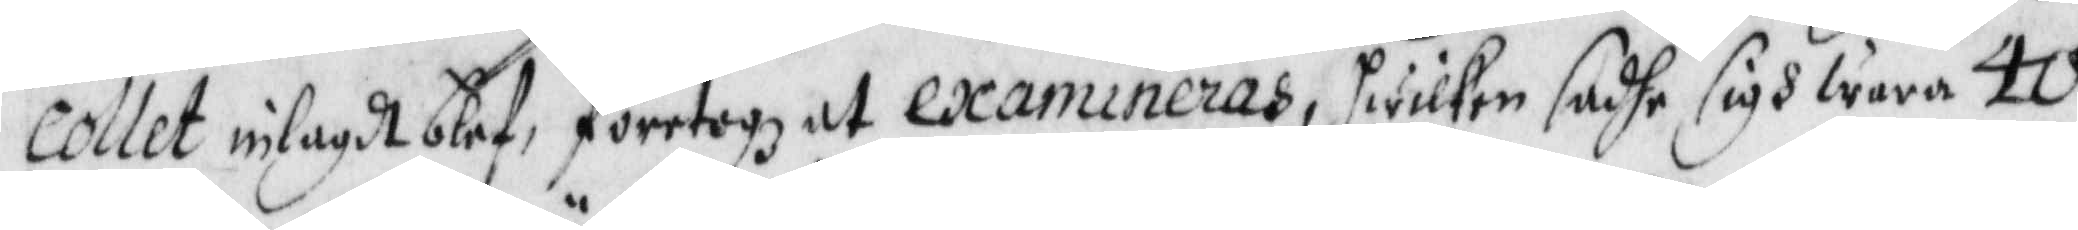collet inlagdt blef, företogz at examineras, hwilken sadhe sigh wara 40
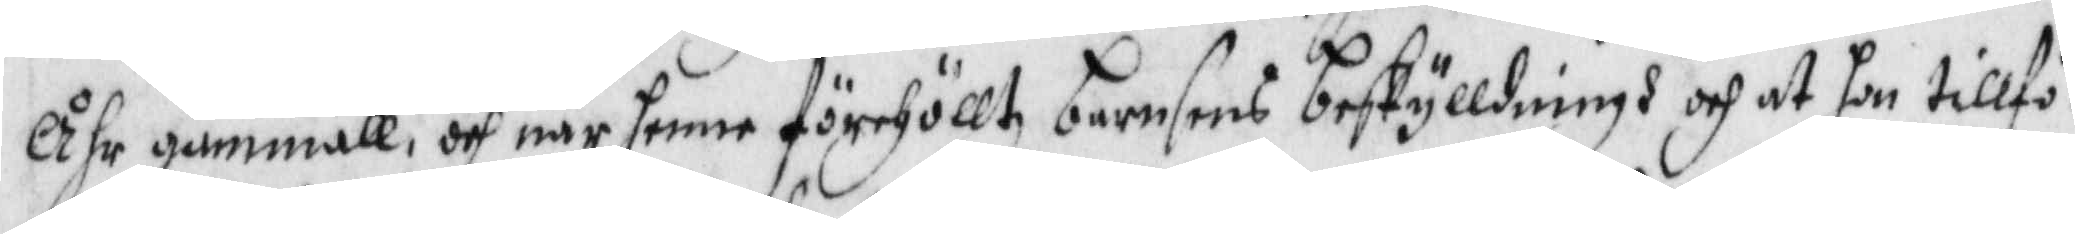Åhr gammall, och när henne förehölltz barnsens beskylldningh och at hon tillfö¬
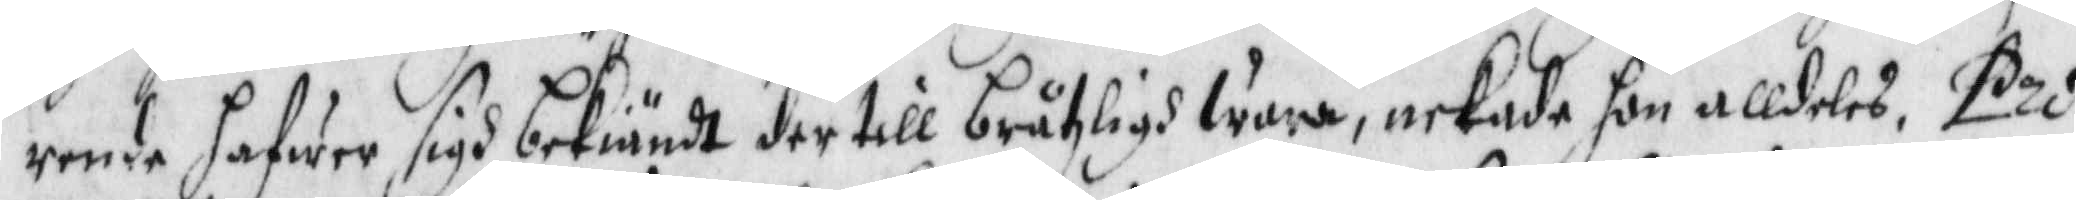rende hafwer sigh bekiändt det till bråtzligh wara, nekade hon alldeles, Pro¬
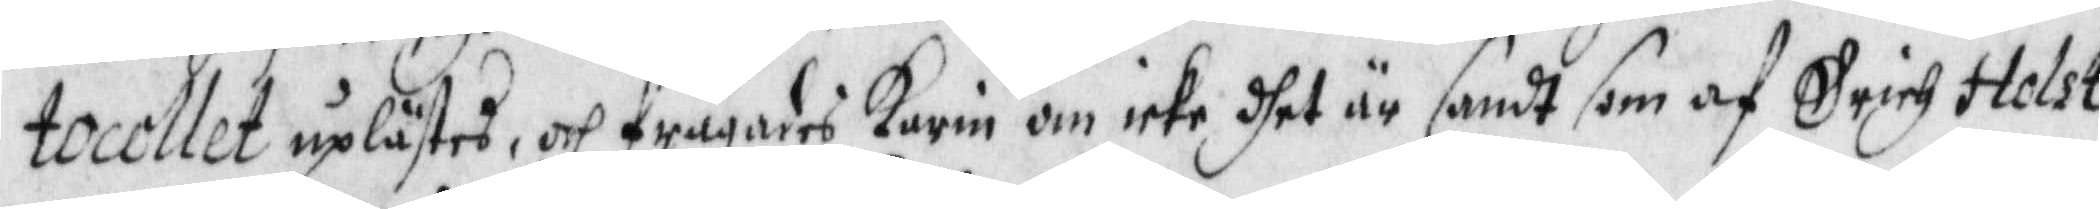tocollet uplästes och frågades Karin om icke dhet är sandt som af Erich Holst
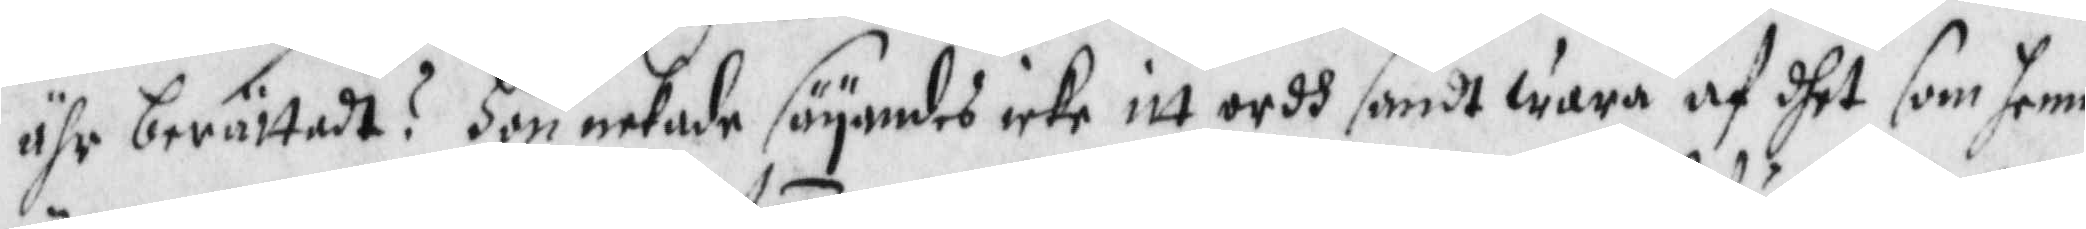ähr berättadt? Hon nekade säyandes icke itt ordh sandt wara af dhet som henne
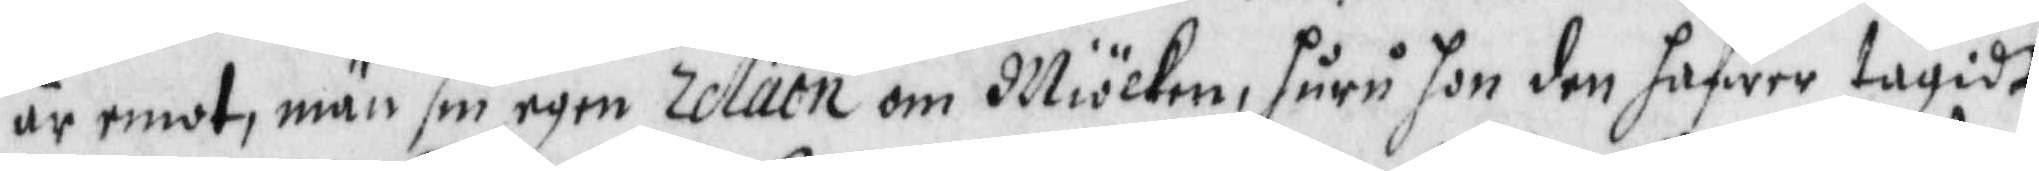är emot, män sin egen relation om Miölken, huru hon den hafwer tagidt
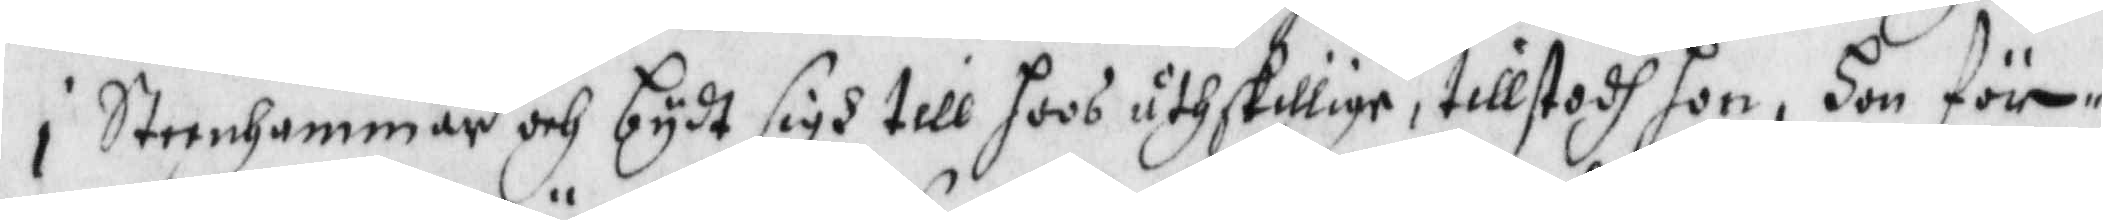i Steenhammar och bydt sigh till hoos åtskillige, tillstodh hon. Hon för¬
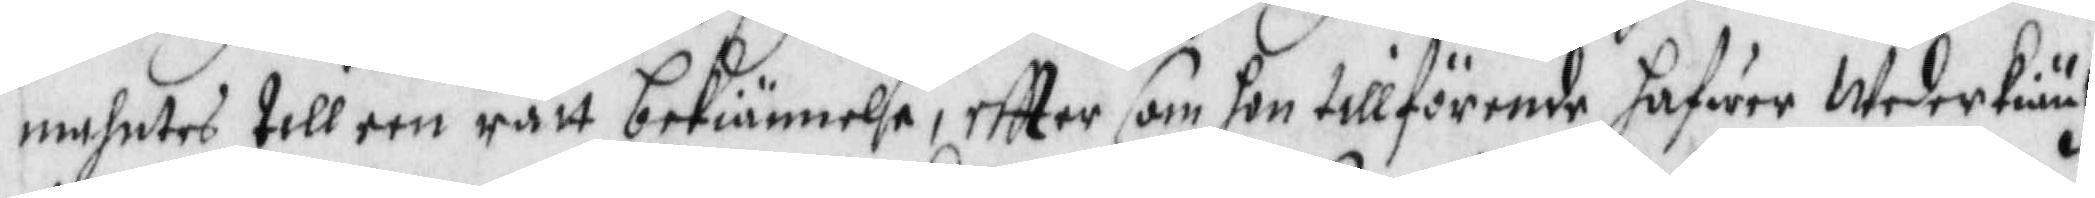mahntes till een rätt bekiännelse, eftter som hon tillförende hafwer Wederkiäntz
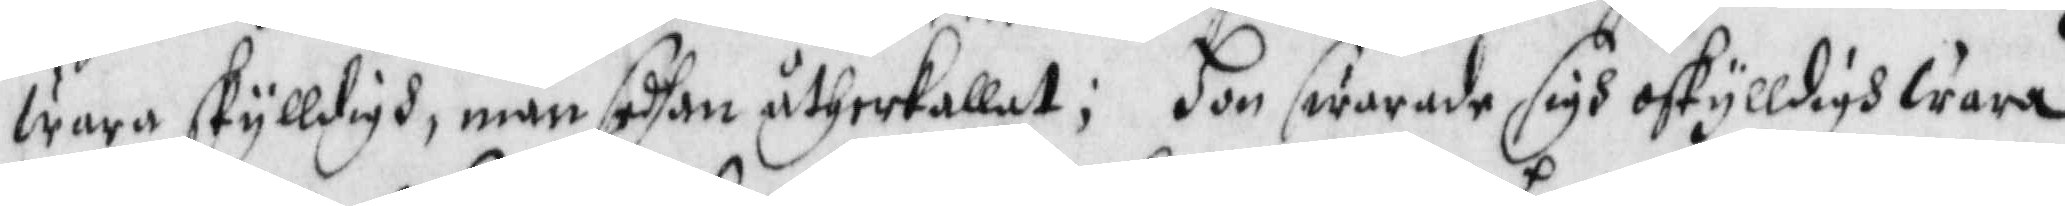wara skylldigh, män sedhan åtherkallat; Hon swarade sigh oskylldigh wara,
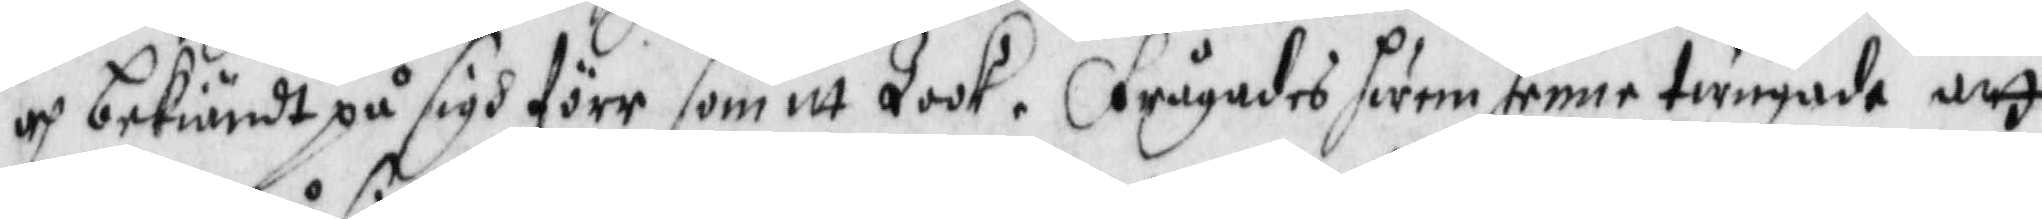och bekiändt på sigh före som itt Took. frågades hwem henne twinade att
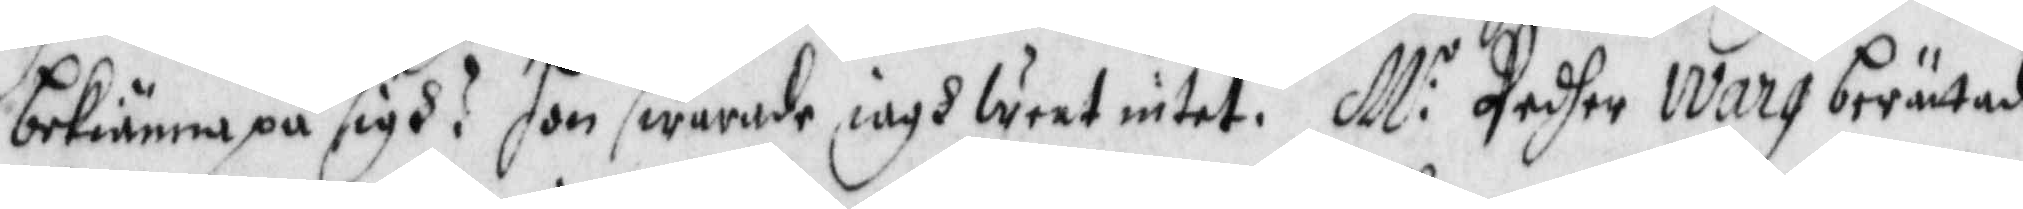bekiänna på sigh? hon swarade iagh weet intet. M:r Pedher Warg berättade
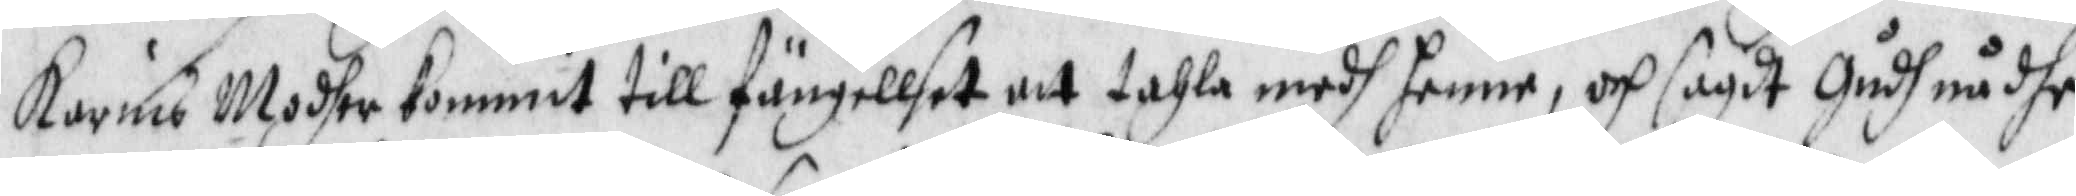Karins Modher kommit till fängellset att tahla medh henne, och sagdt Gudh nådhe
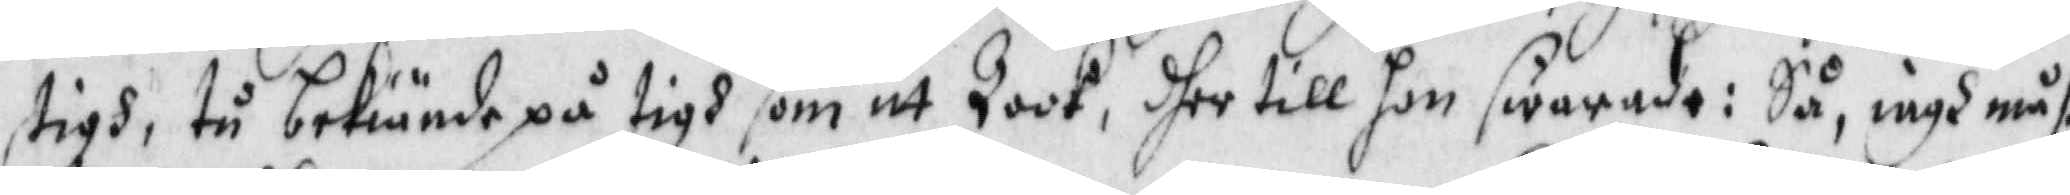tigh, tu bekiände på tigh som itt Took, dher till hon swarade: Så, iagh måste
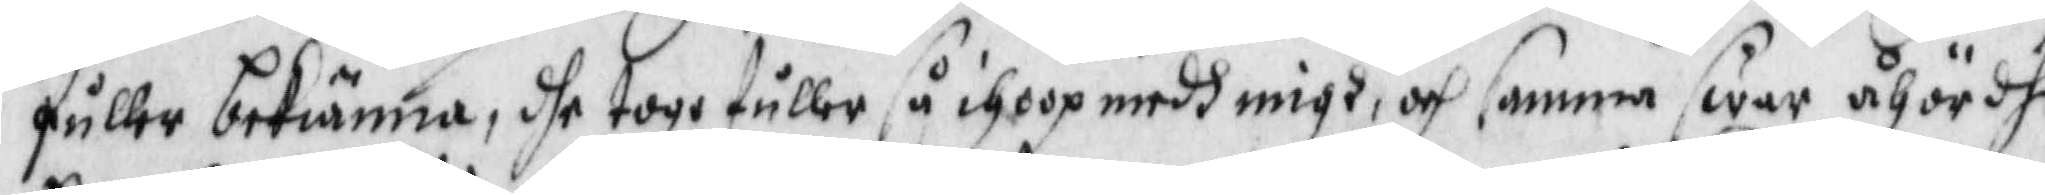fuller bekiänna, dhe togh fuller så ihoop medh migh, och samma swar åhördhe
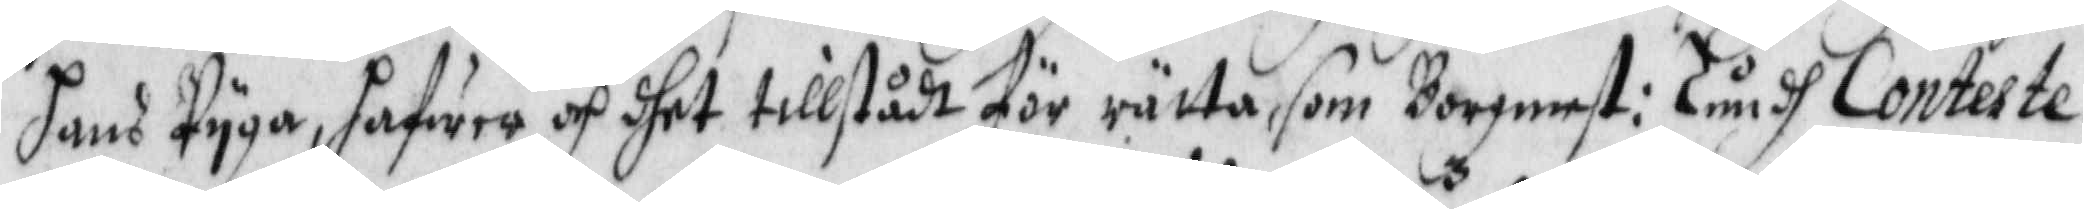hans Pyga, hafwer och dhet tillstådt för rätta som Borgmest: Lundt Conteste¬
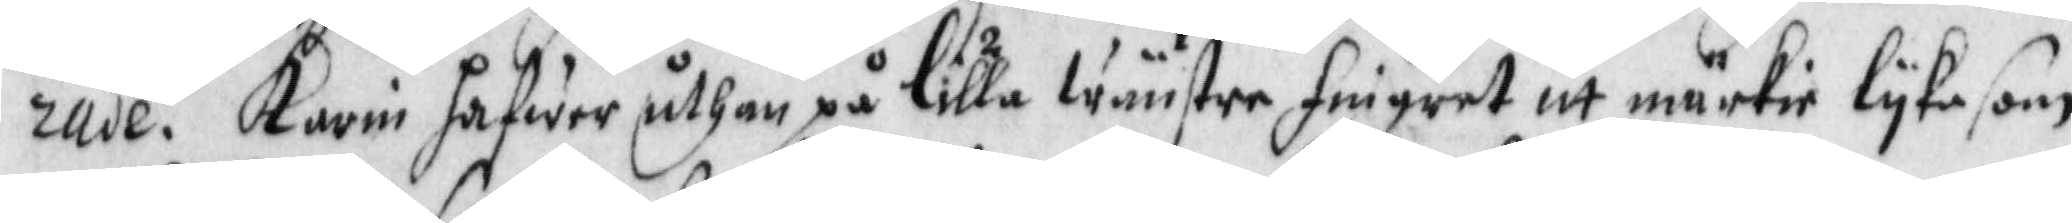rade. Karin hafwer uthan på lilla wänster fingret itt märkie lyka som
